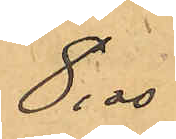8,00
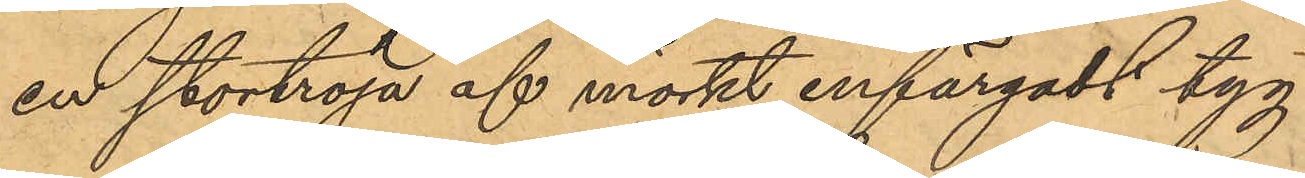en stortröja af mörkt enfärgadt tyg
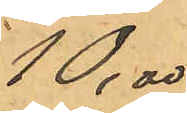10,00
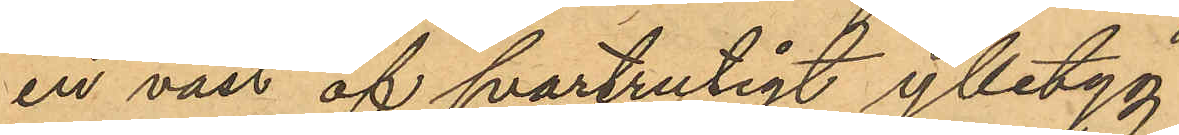en väst af svartrutigt ylletyg
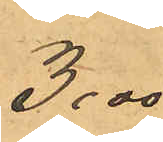3,00
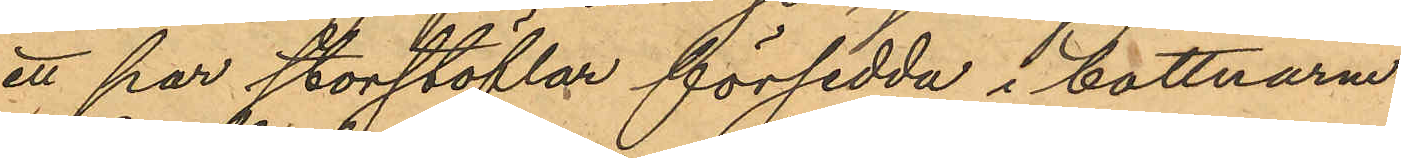ett par storstöflar försedda i bottnarna
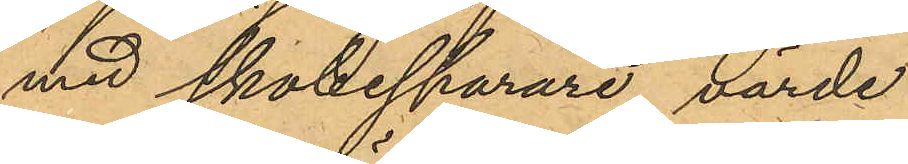med skobesparare, värde
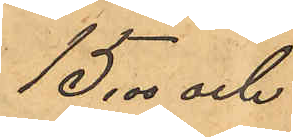15,0 och
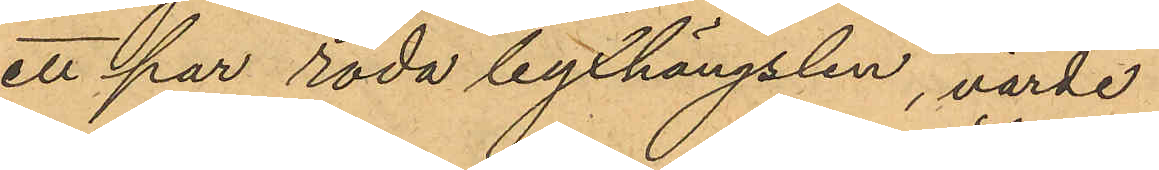ett par röda byxhängslen, värde
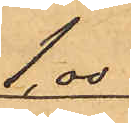1,00
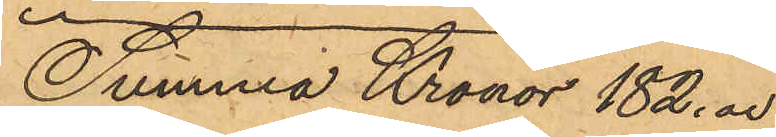Summa Kronor 182,00
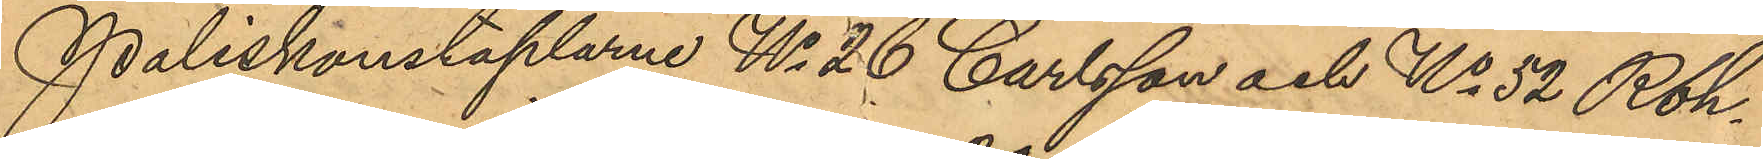Poliskonstaplarne No 26 Carlsson och No 52 Roh¬
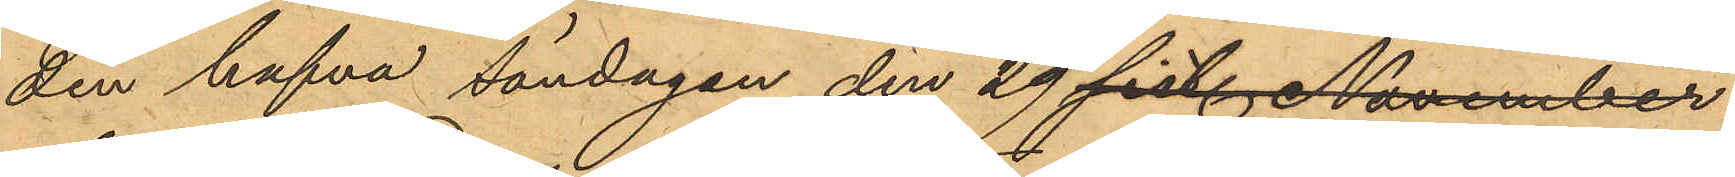din hafva söndagen den 29 sist. November
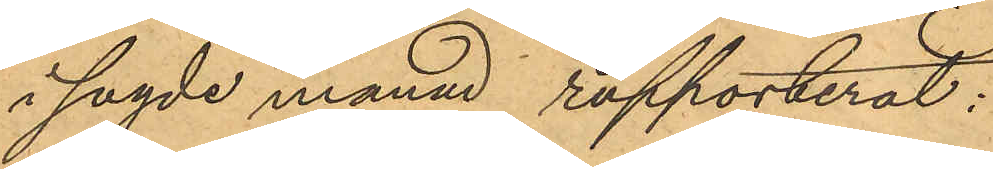i sagde månad rapporterat:
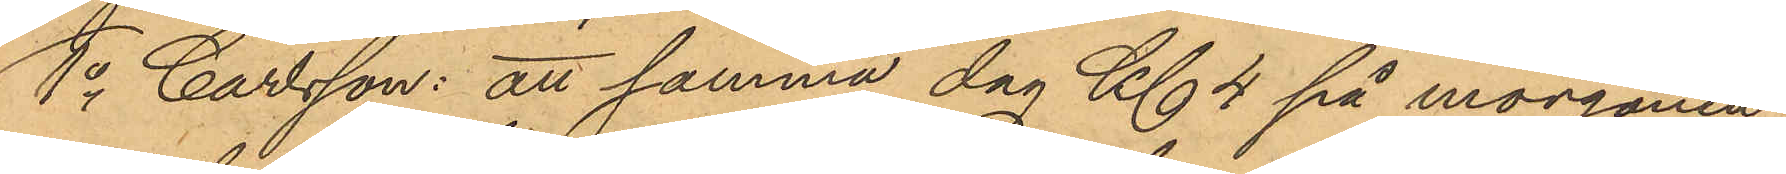1o Carlsson: att samma dag Kl. 4 på morgonen,
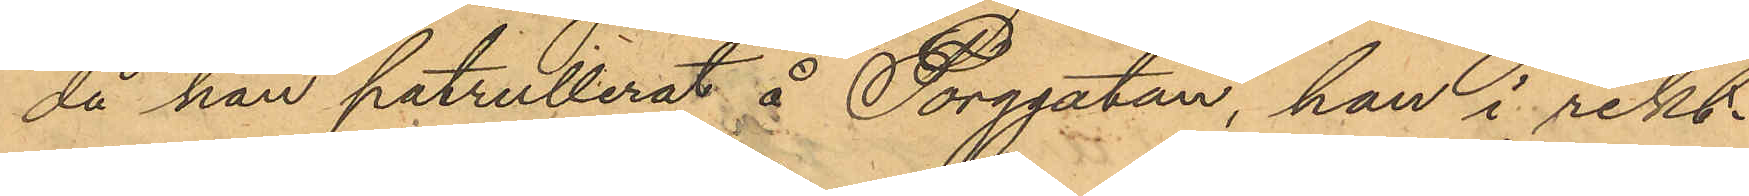då han patrullerat å Torggatan, han i rikt¬
